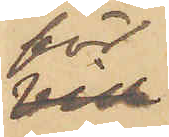för
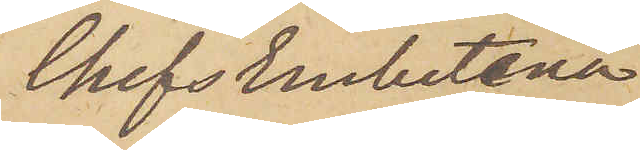ChefsEmbetena
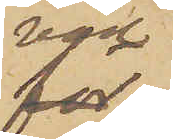vid
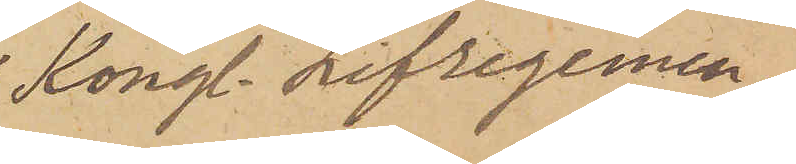Kongl. Lifregemen¬
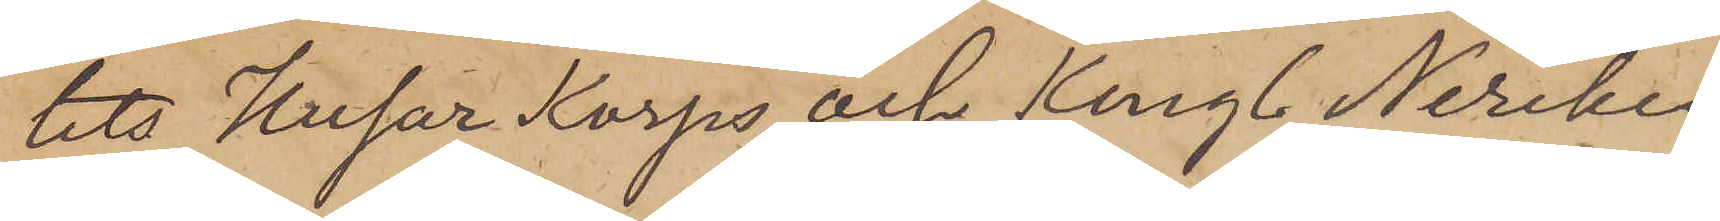tets Husar Korps och Kungl. Nerikes
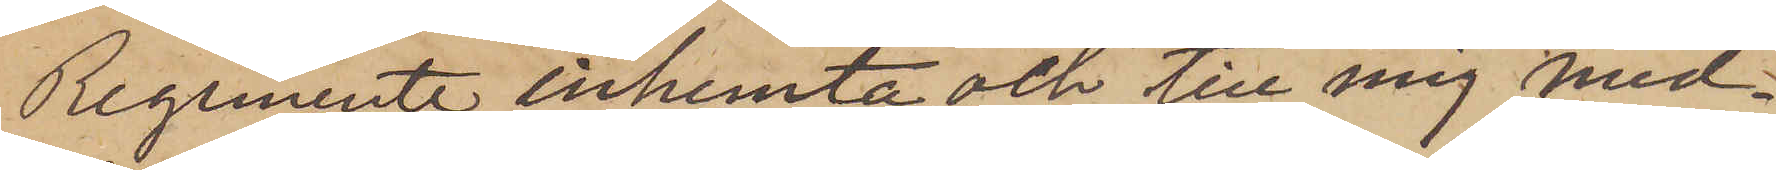Regemente inhemta och till mig med¬
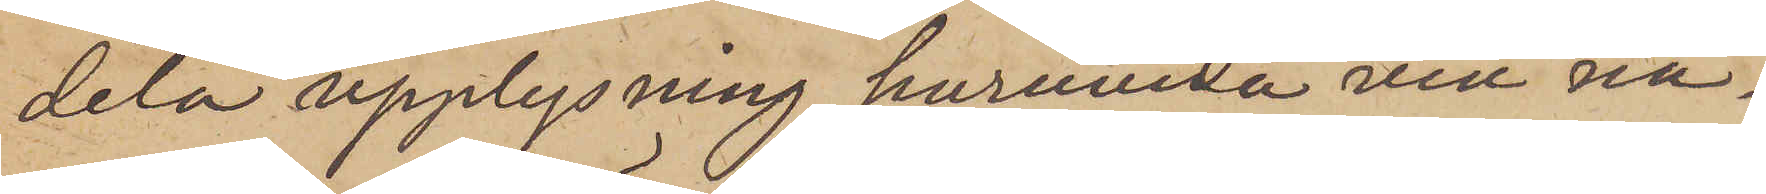dela upplysning, huruvida vid nå¬
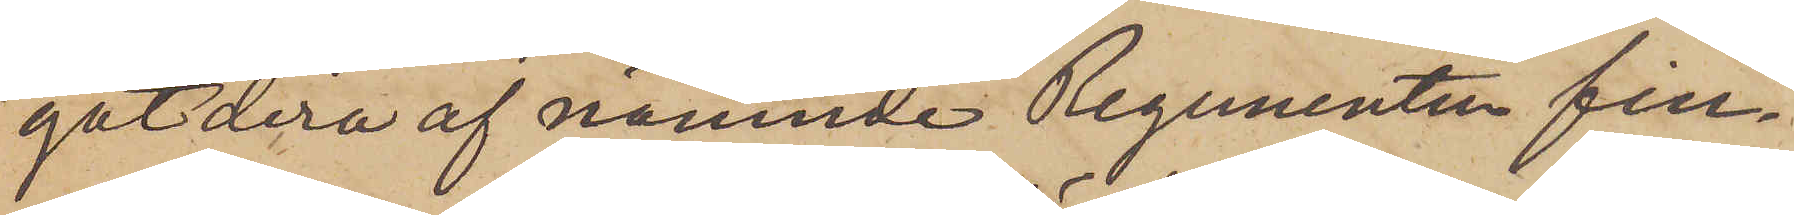gotdera af nämnde Regementen fin¬
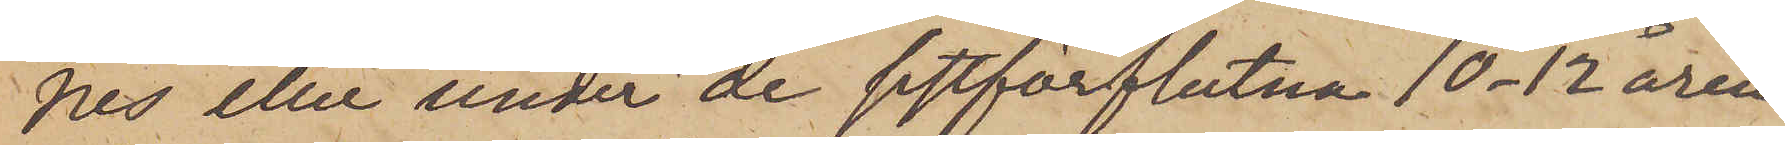nes eller under de sistförflutna 10-12 åren
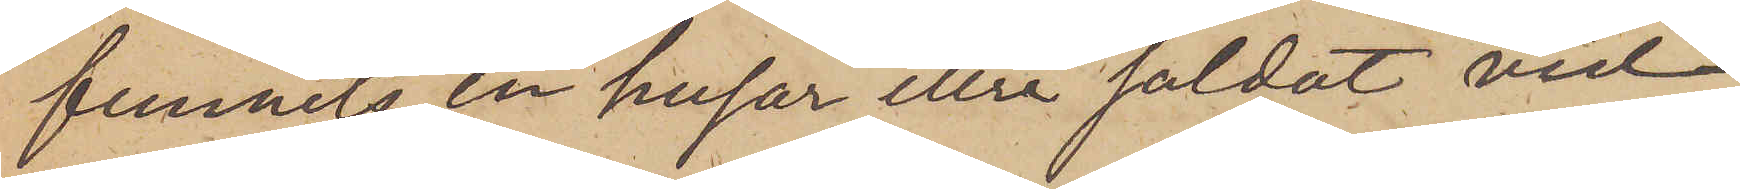funnits en husar eller soldat vid
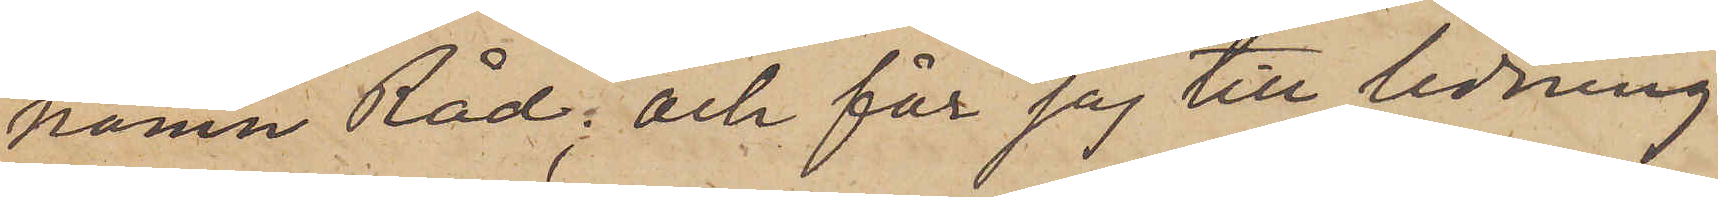namn Råd; och får jag till ledning
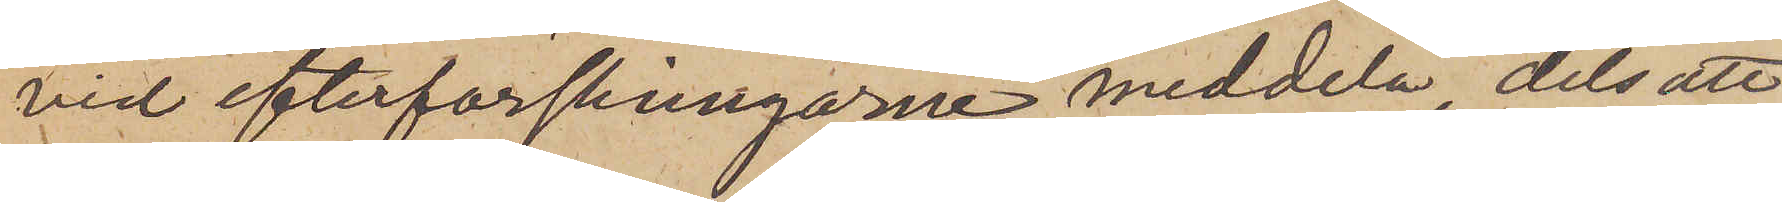vid efterforskningarne meddela, dels att
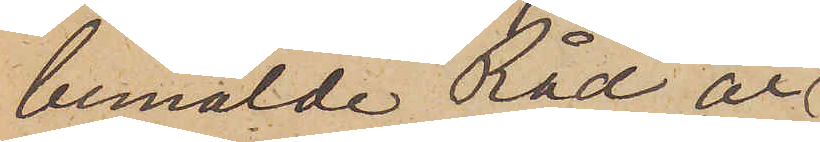bemälde Råd är
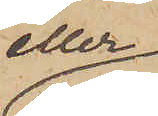eller
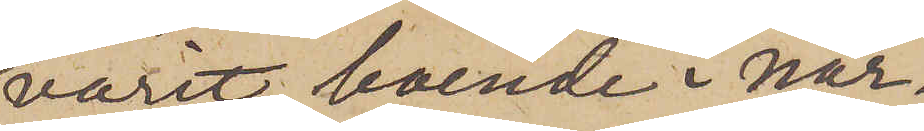varit boende i när¬
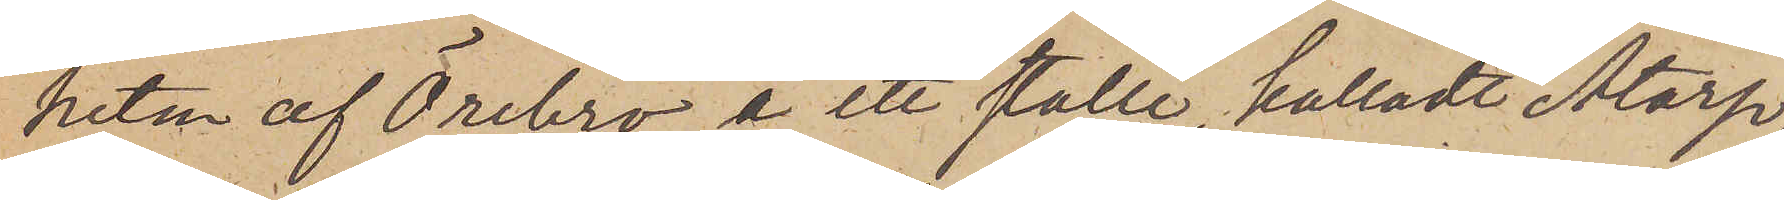heten af Örebro å ett ställe, kalladt Åtorp,
